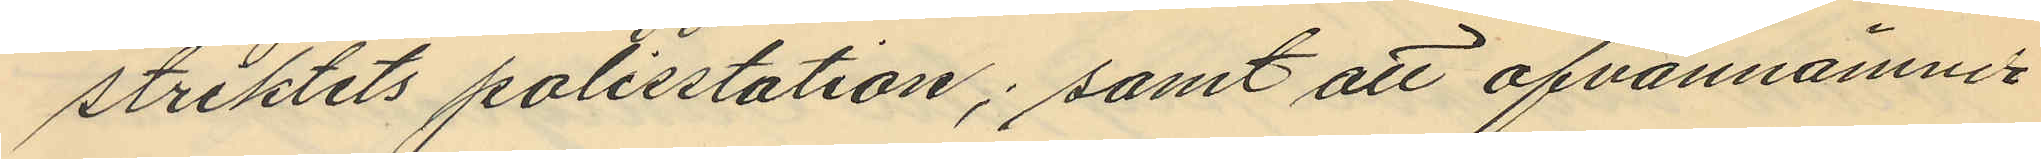striktets polisstation; samt att ofvannämnde
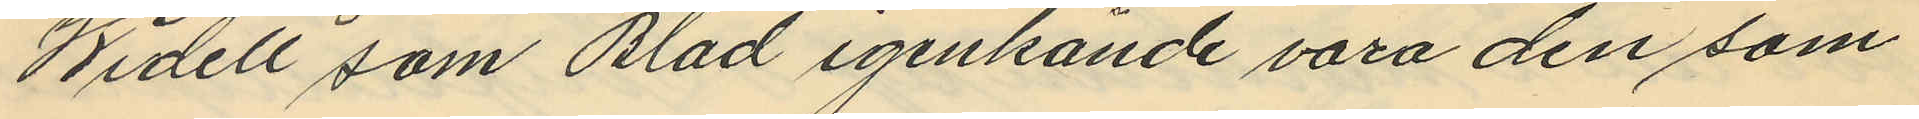Widell som Blad igenkände vara den som
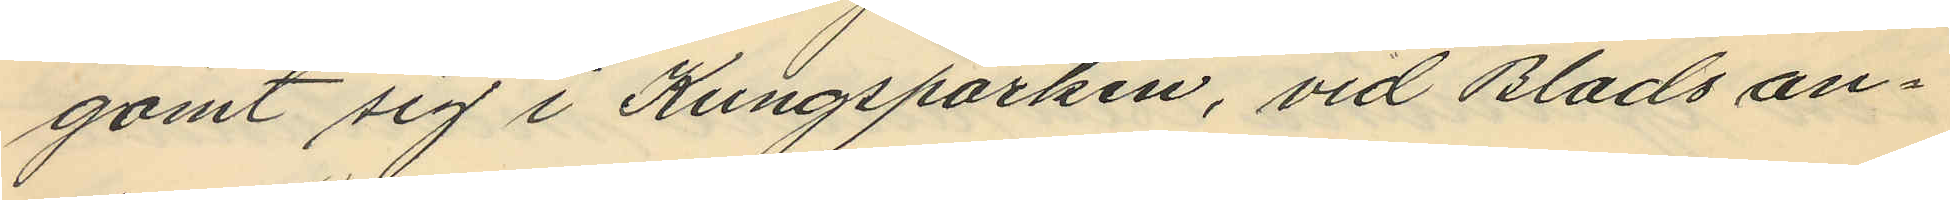gömt sig i Kungsparken, vid Blads an¬
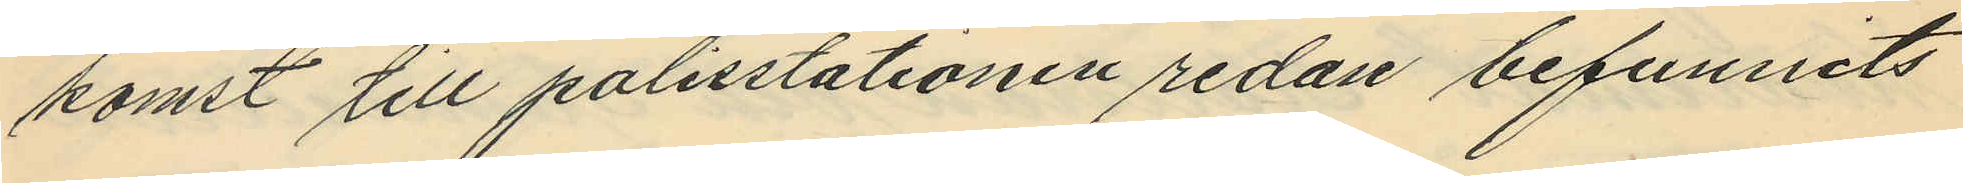komst till polisstationen redan befunnits
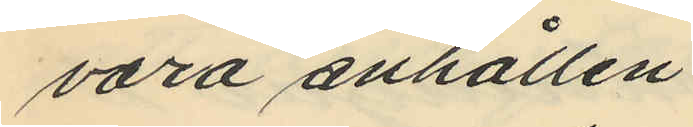vara anhållen.
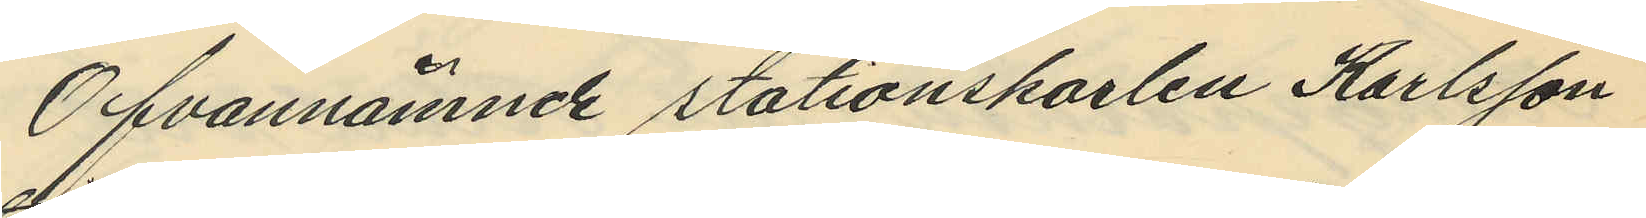Ofvannämnde stationskarlen Karlsson
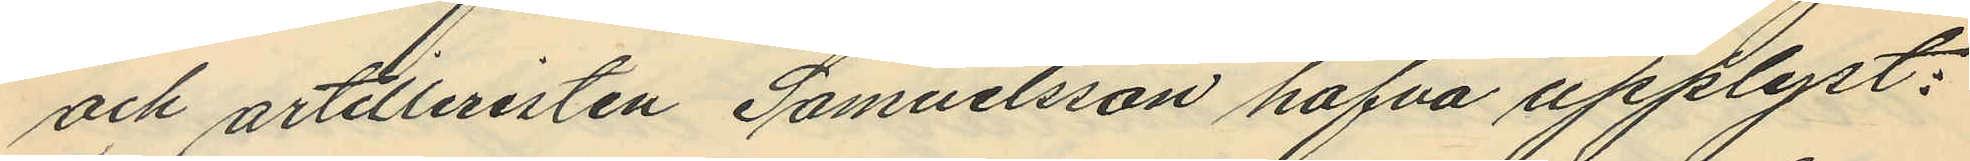och artilleristen Samuelsson hafva upplyst:
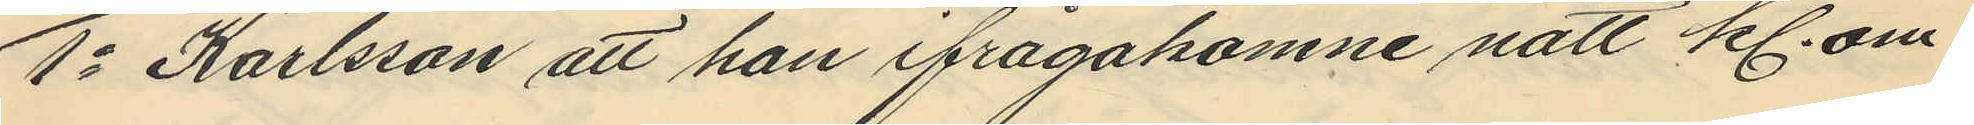1o Karlsson att han ifrågakomne natt kl. om¬
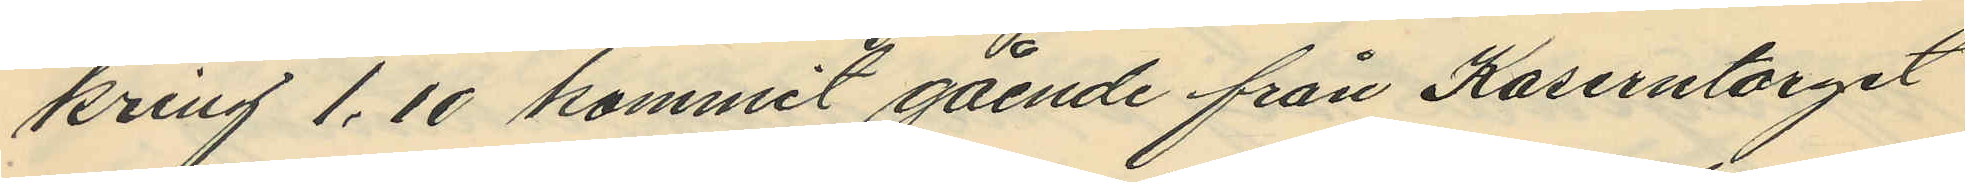kring 1.10 kommit gående från Kaserntorget
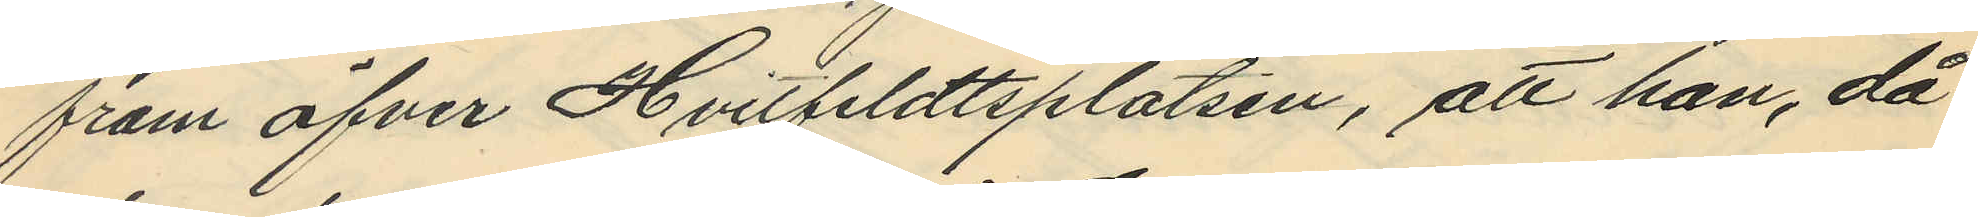fram öfver Hvitteldtsplatsen, att han, då
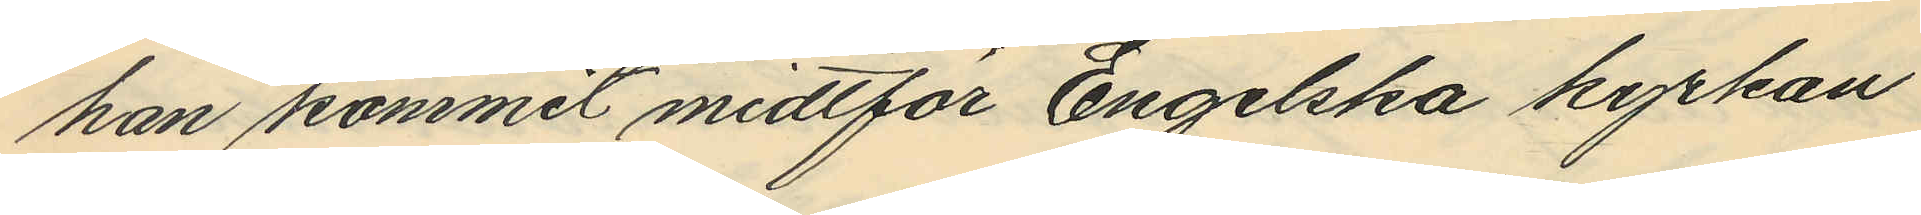han kommit midtför Engelska kyrkan
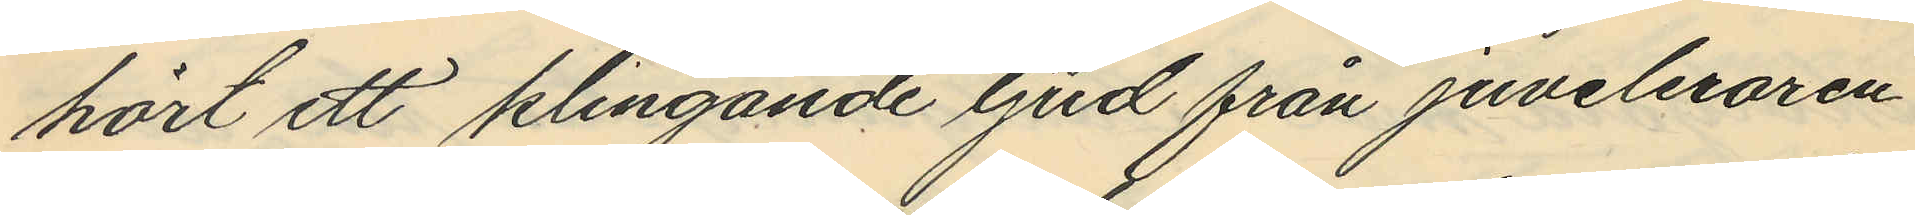hört ett klingande ljud från juveleraren
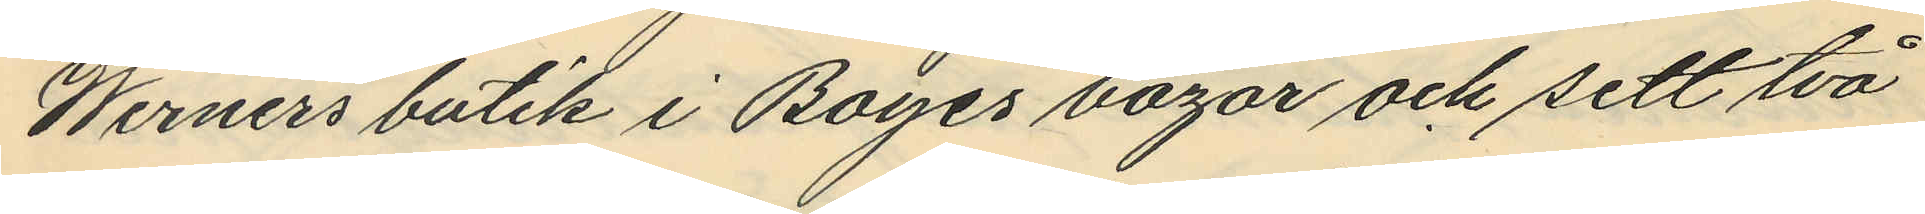Werners butik i Boyes bazar och sett två
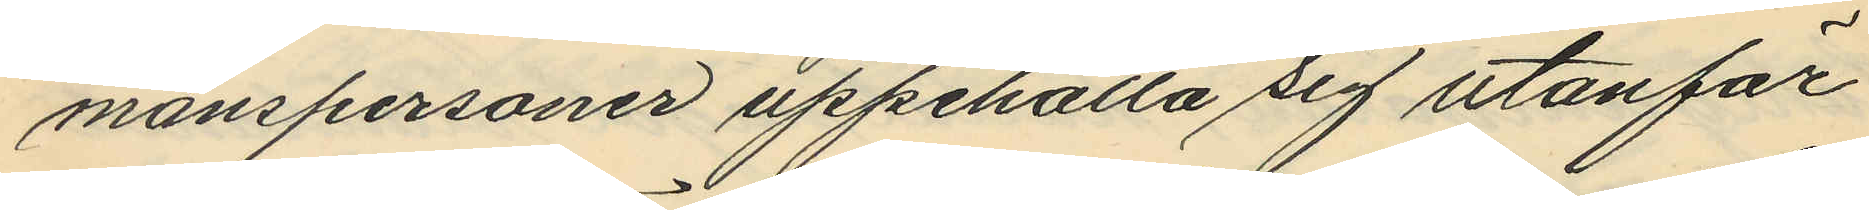manspersoner uppehålla sig utanför
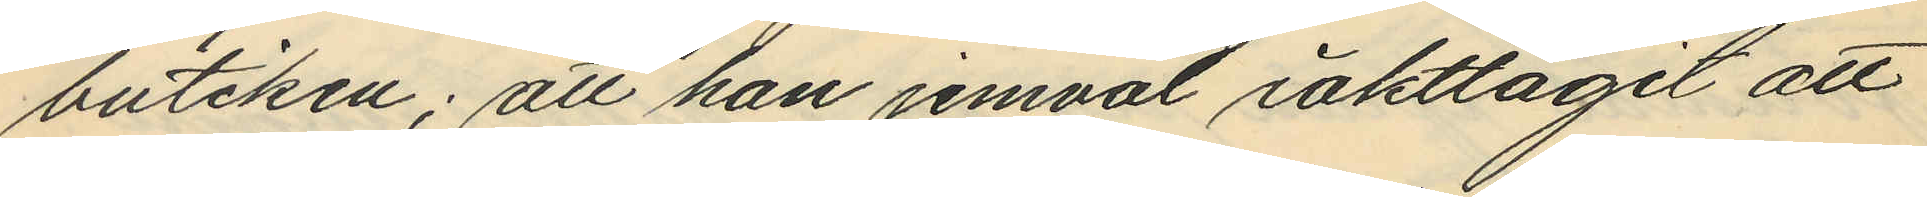butiken; att han jemväl iakttagit att
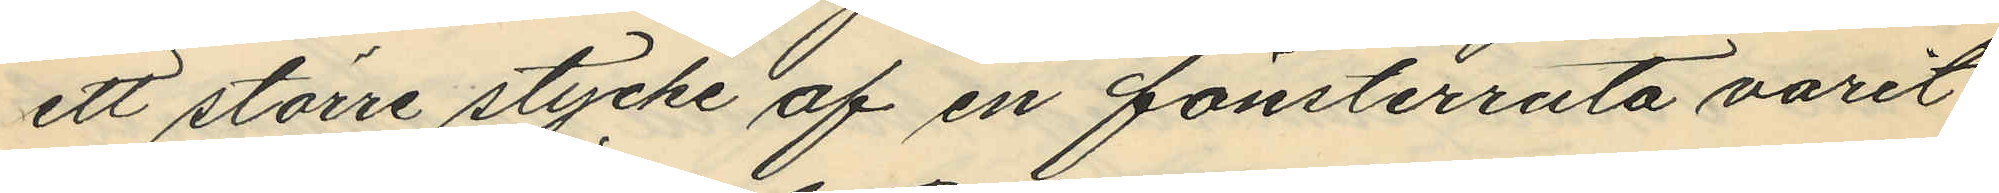ett större stycke af en fönsterruta varit
